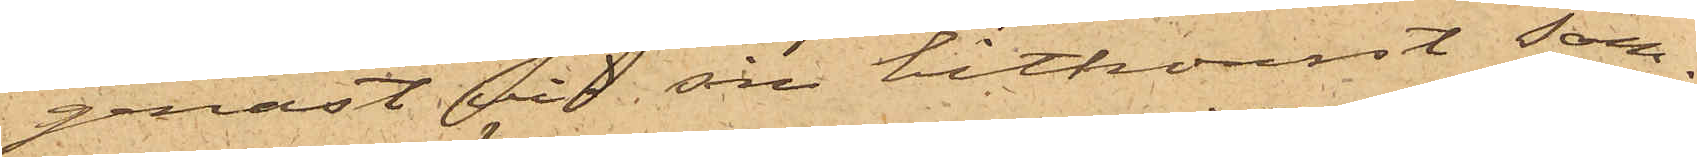genast vid sin hitkomst sam¬
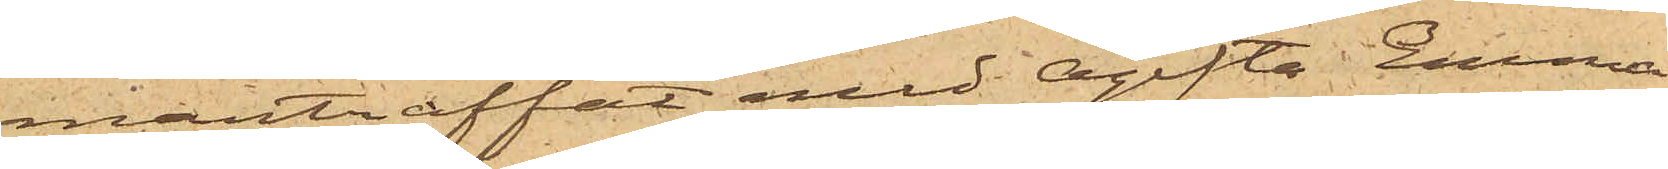manträffat med Ogifta Emma
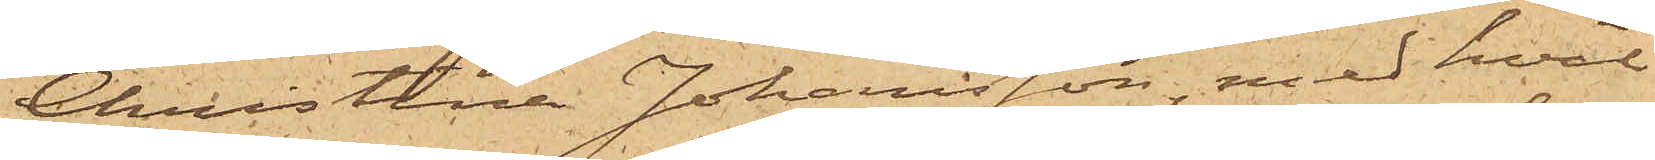Christina Johansson, med hvil¬
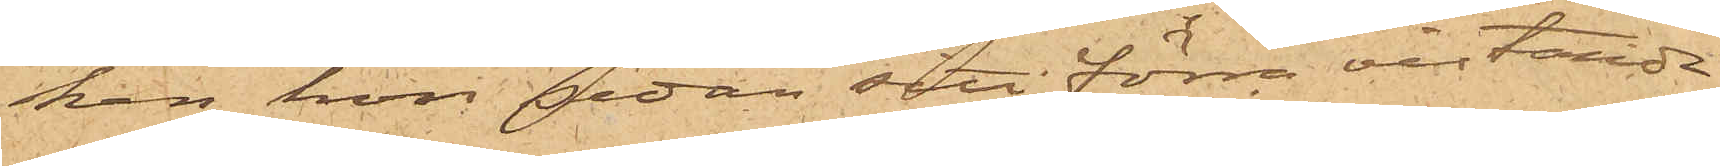han hon sedan sitt förra vistande
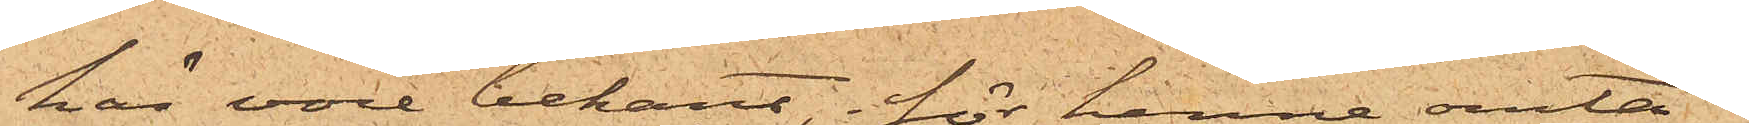här vore bekant, i för henne omta¬
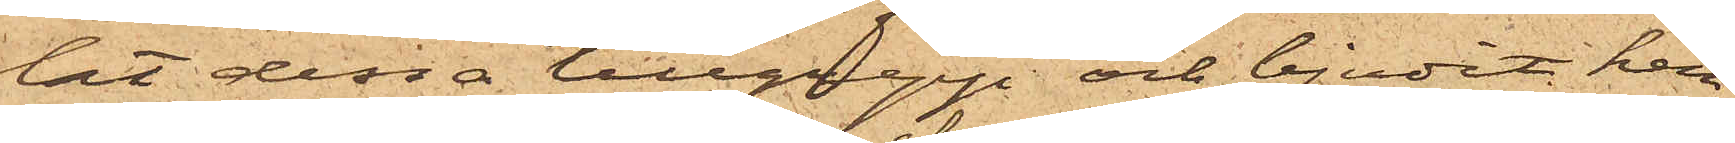lat dessa tillgrepp och bjudit hen¬
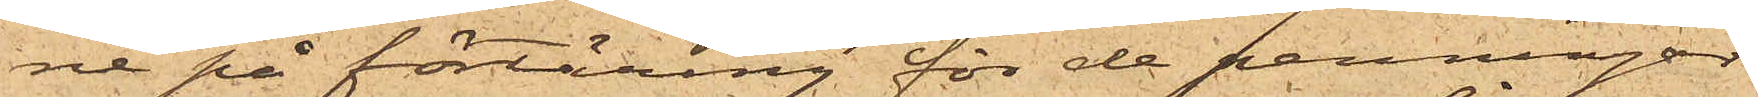ne på förtäring för de penningar
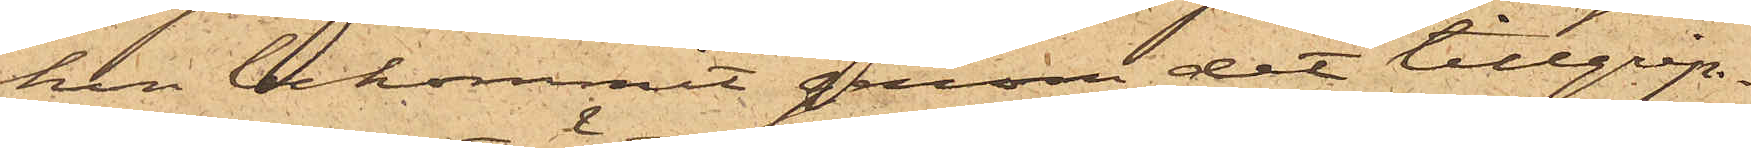hon bekommit genom det tillgrip¬
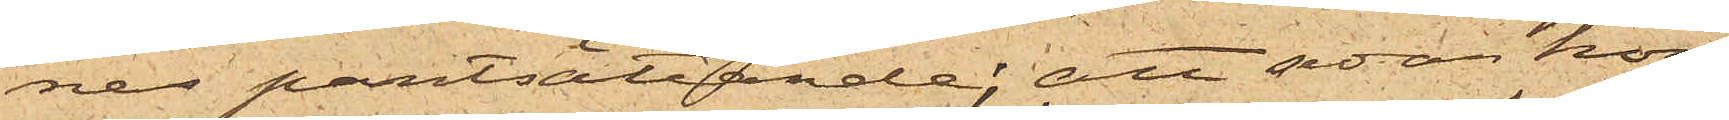nes pantsättande; att sedan hon
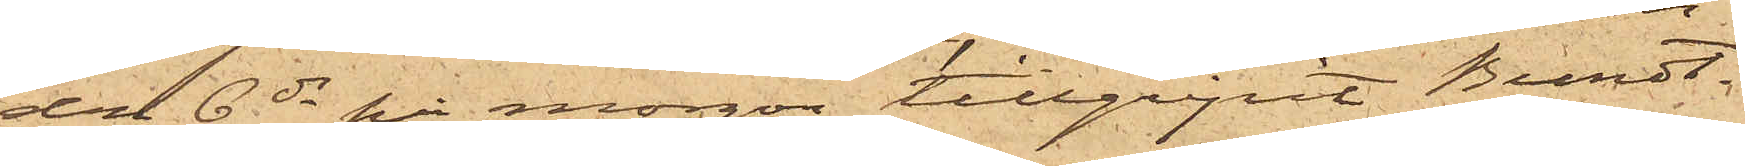den 6 ds på morgon tillgripit Bundt¬
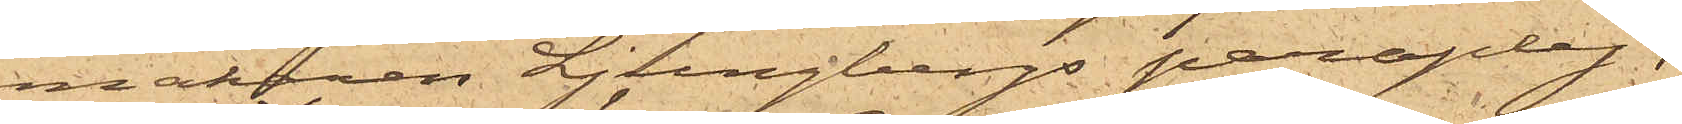makaren Ljungbergs paraply,
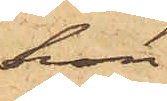hon
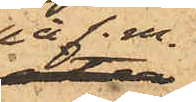på f.m.
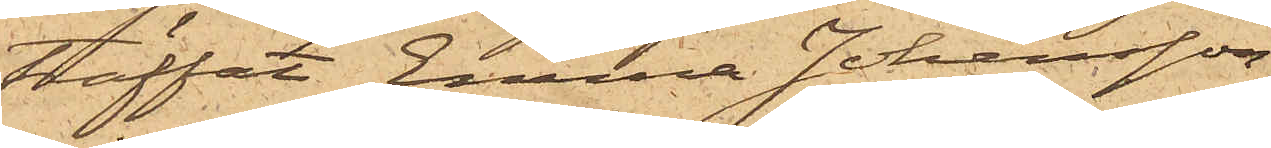träffat Emma Johansson,
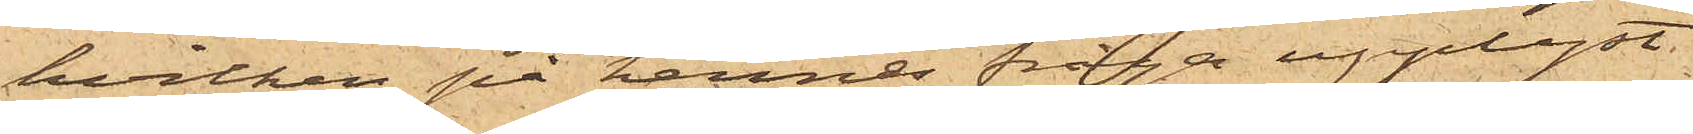hvilken på hennes fråga upplyst,
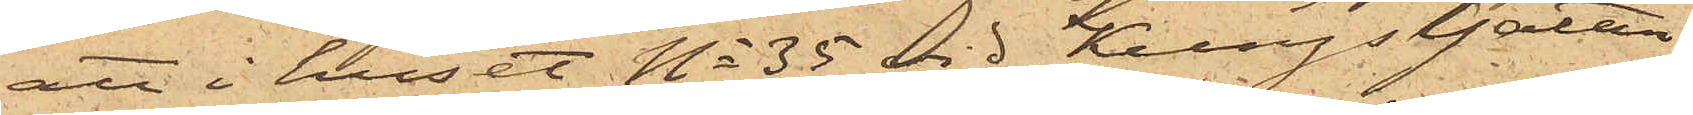att i huset No 35 vid Kungsgatan,
